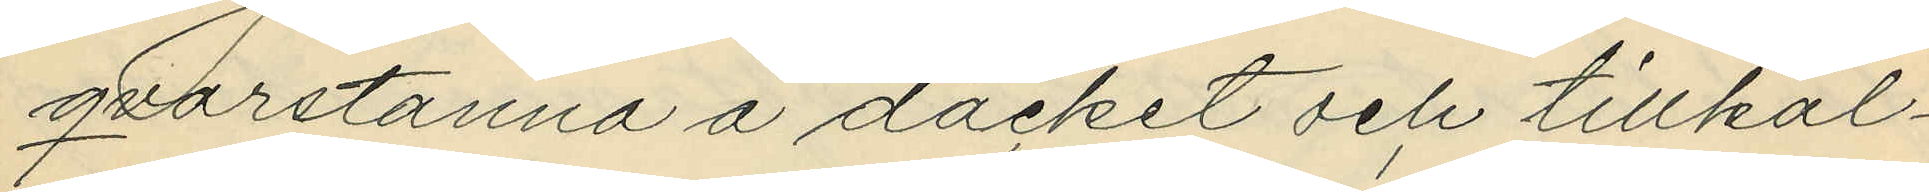qvarstanna å däcket och tillkal¬
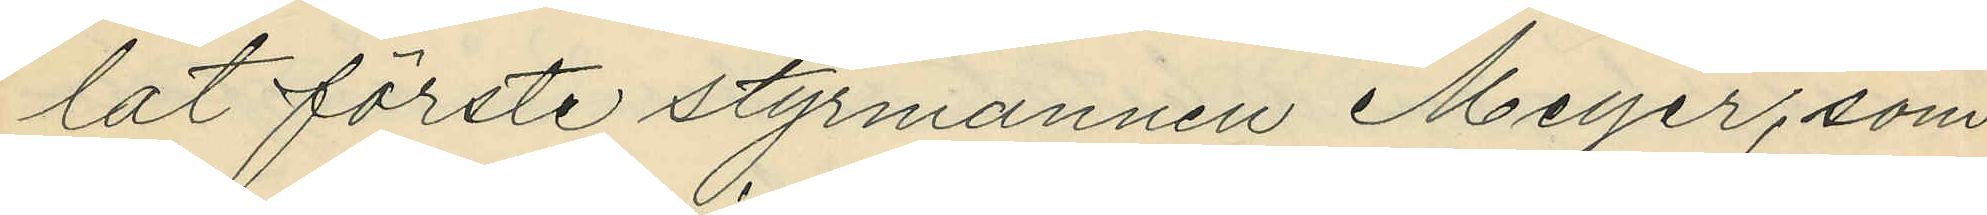lat förste styrmannen Meyer, som
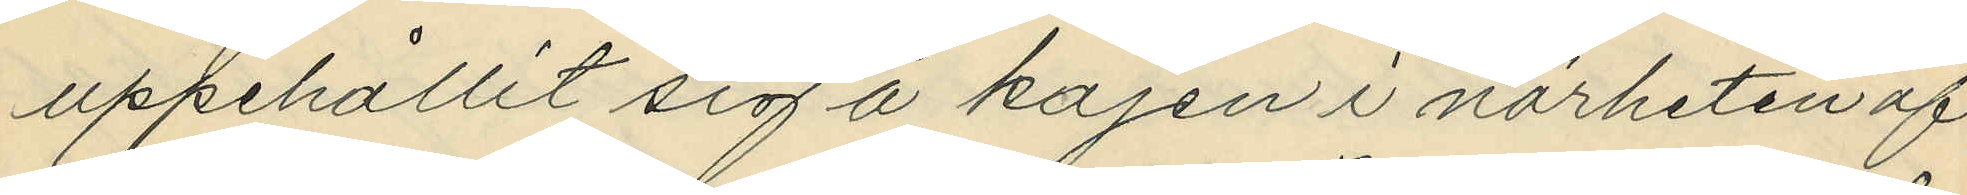uppehållit sig å kajen i närheten af
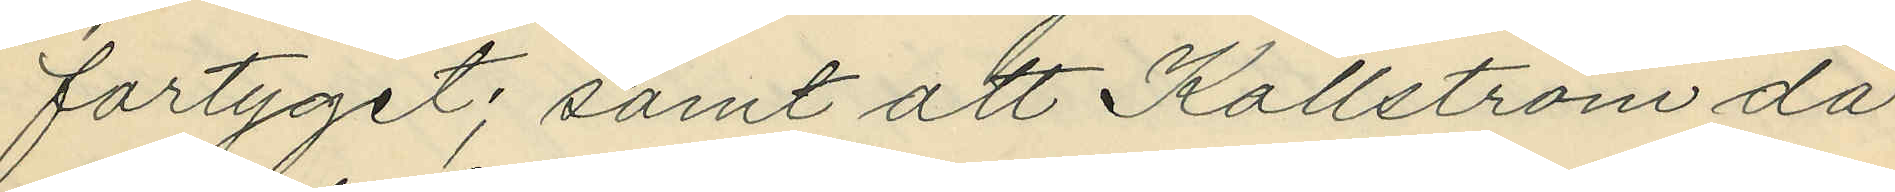fartyget; samt att Källström då
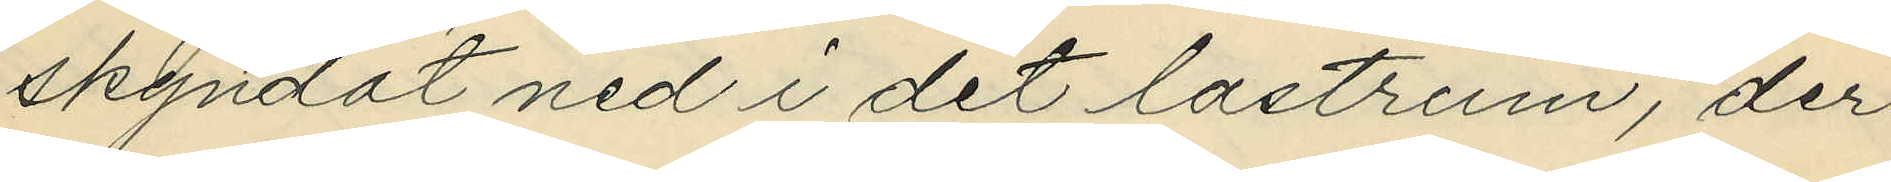skyndat ned i det lastrum, der
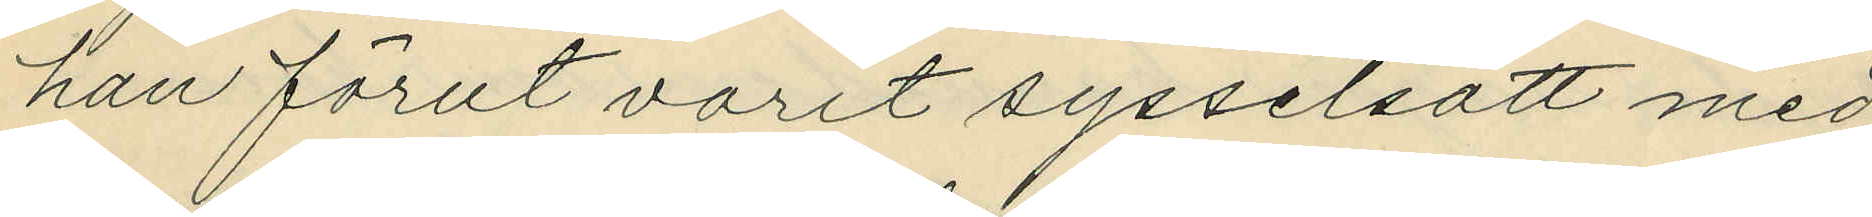han förut varit sysselsatt med
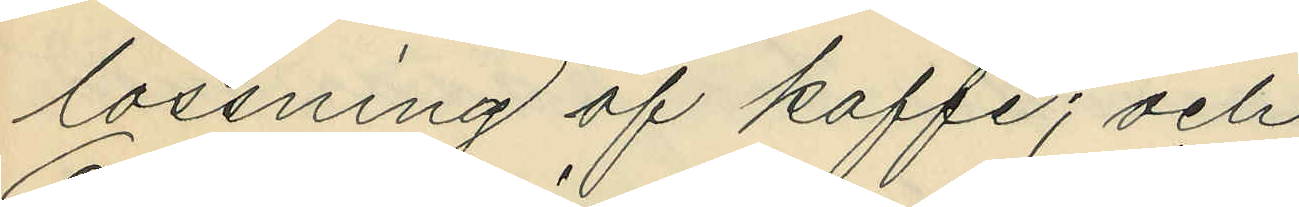lossning af kaffe; och
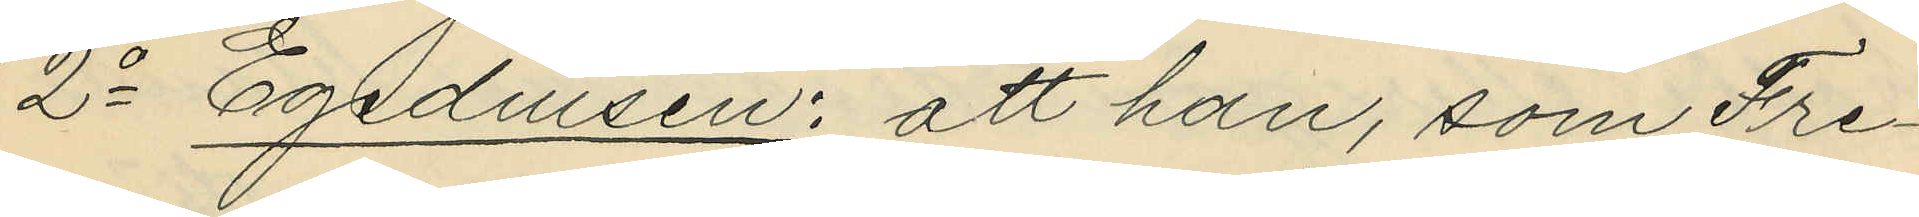2o Egediusen: att han, som Fre¬
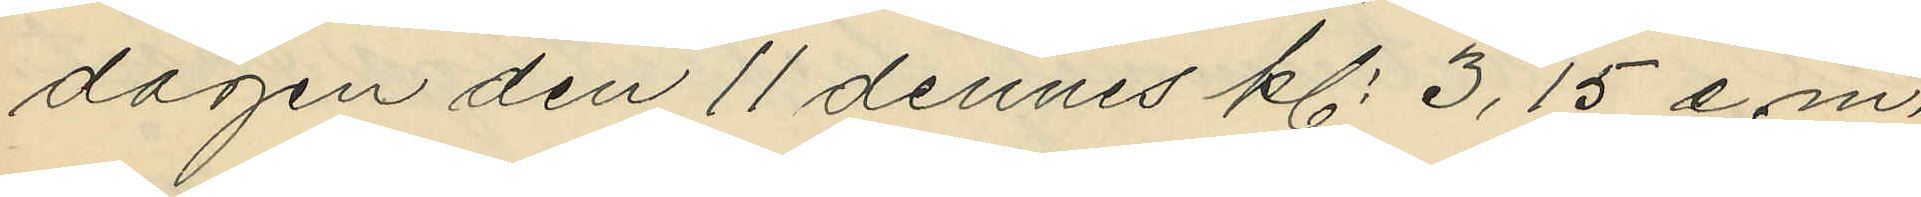dagen den 11 dennes kl. 3,15 e.m.
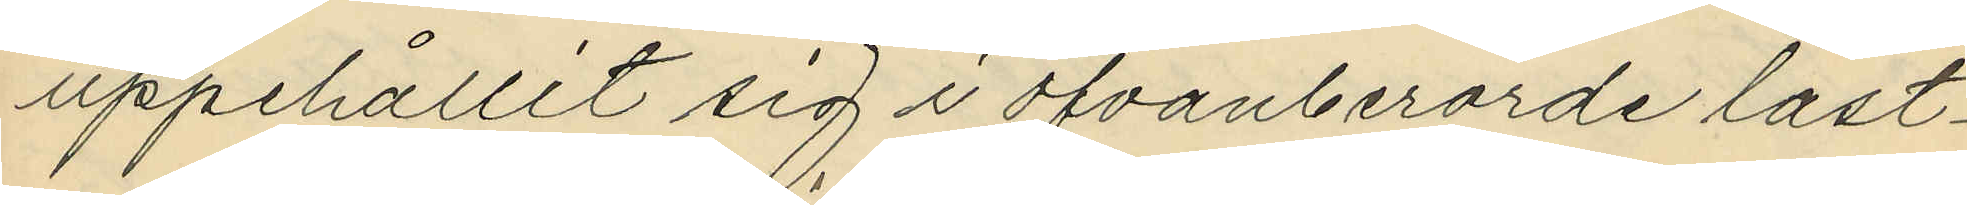uppehållit sig i ofvanberörde last¬
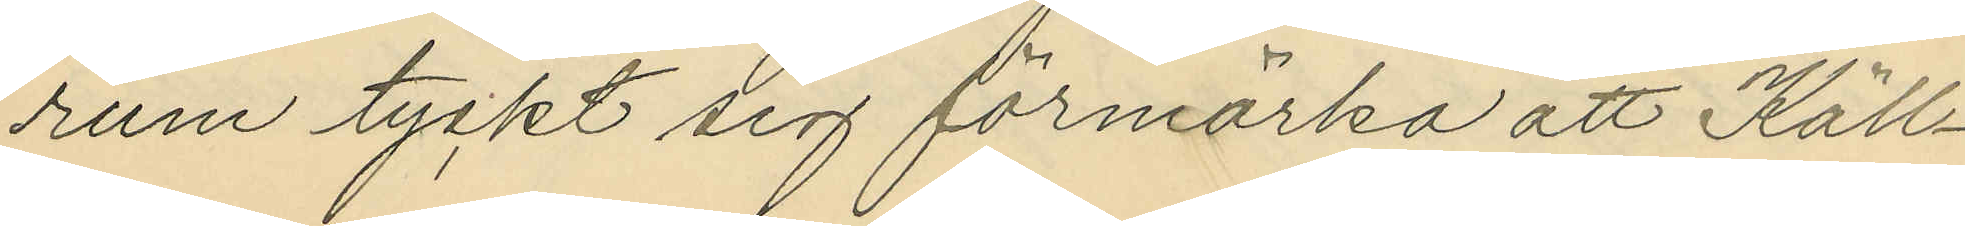rum tyckt sig förmärka att Käll¬
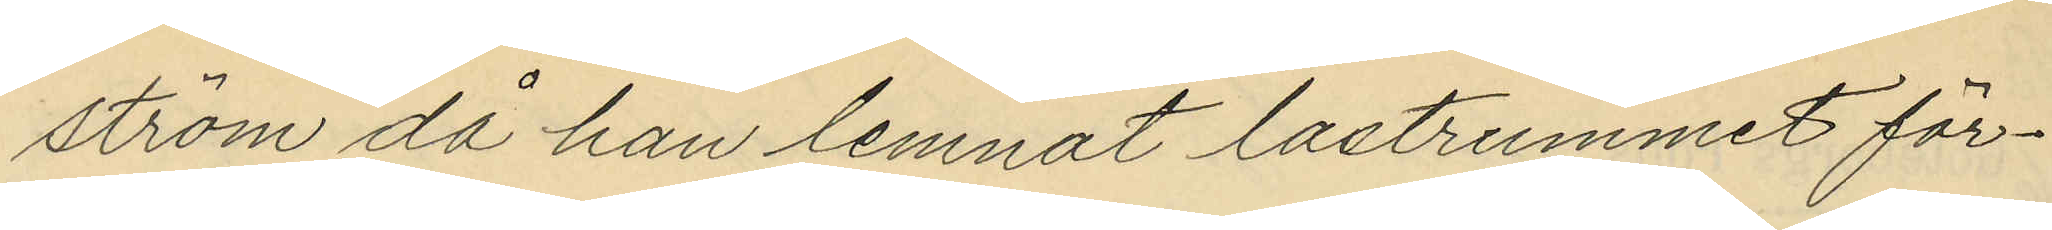ström då han lemnat lastrummet för¬
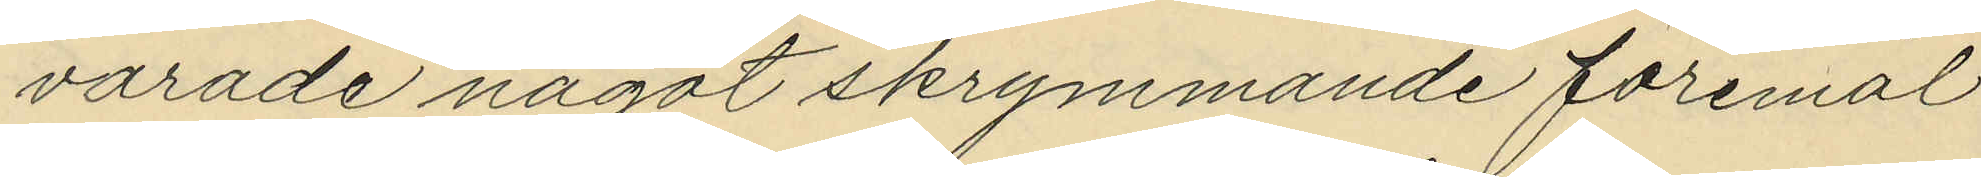varade något skrymmande föremål
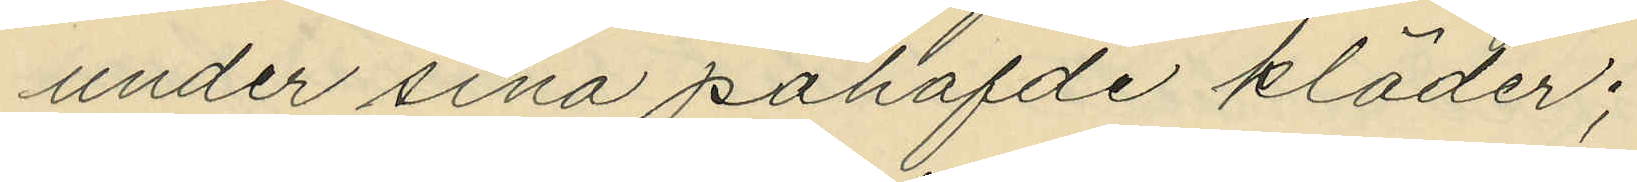under sina påhafde kläder;
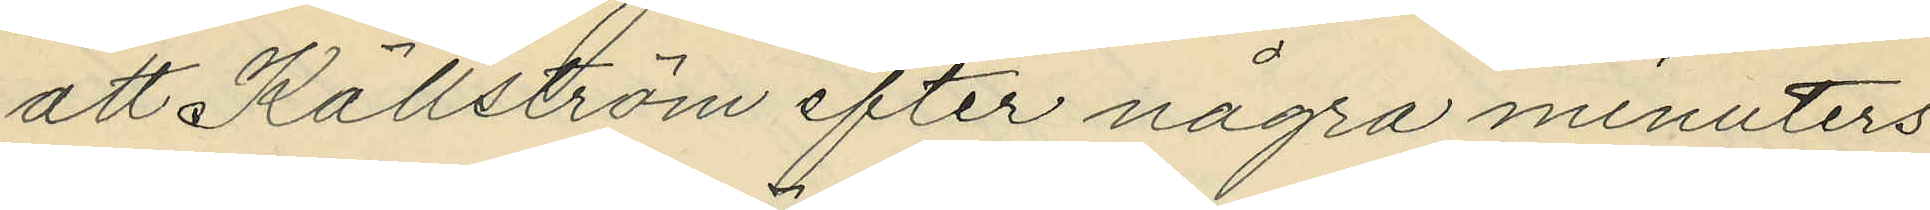att Källström efter några minuters
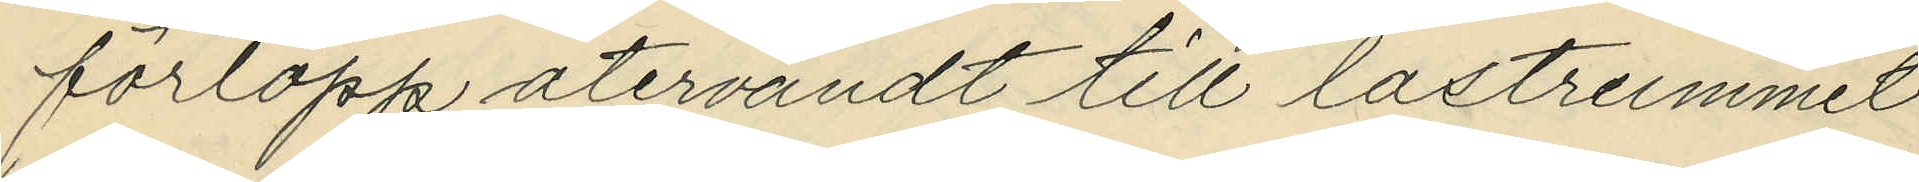förlopp återvändt till lastrummet
